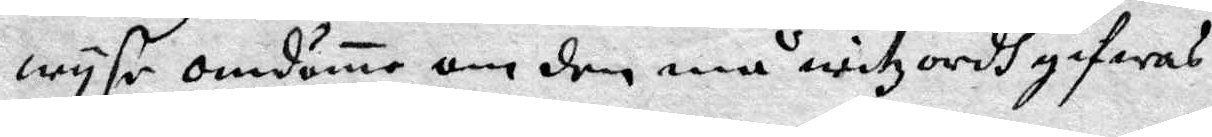wyse omdöme om den må witzordh gifwas.
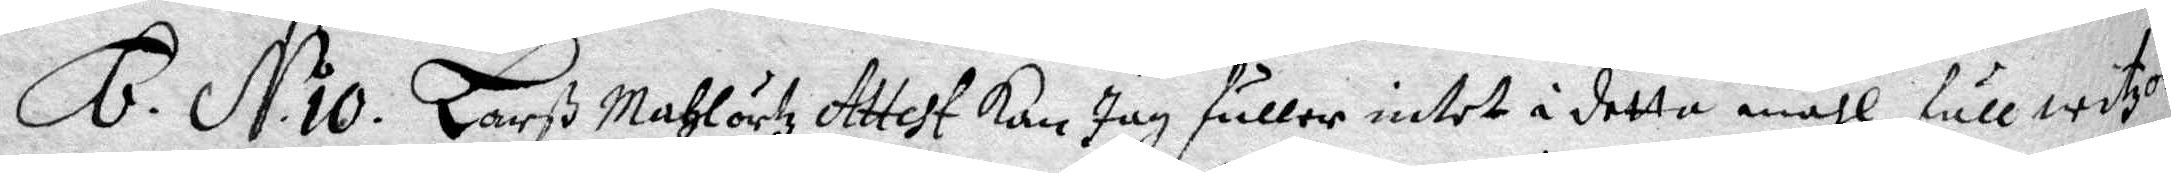6. N. o 10. Larß Mahlörtz Attest kan Jag fuller intet i detta måhl full witzord
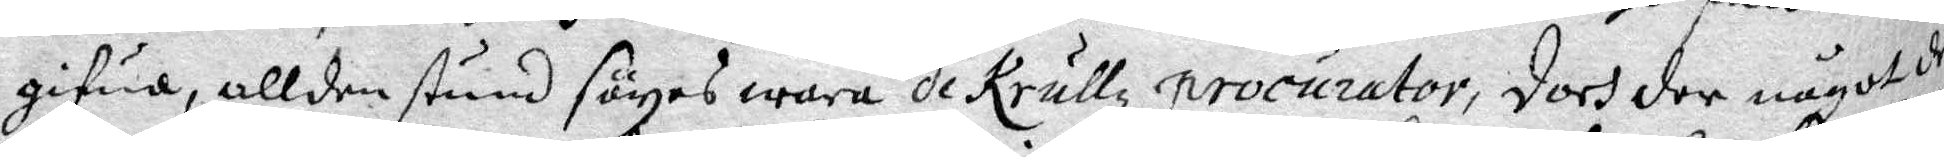gifwa, allden stund säyas wara de Krullz procurator, doch der något der
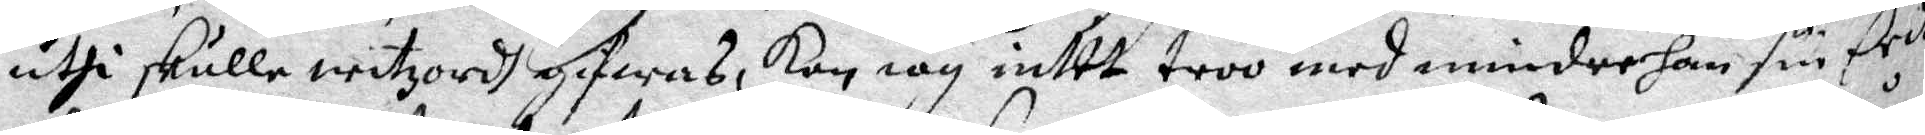uthi skulle witzordh gifwas, Kan iag intet troo med mindre han sin Eedh
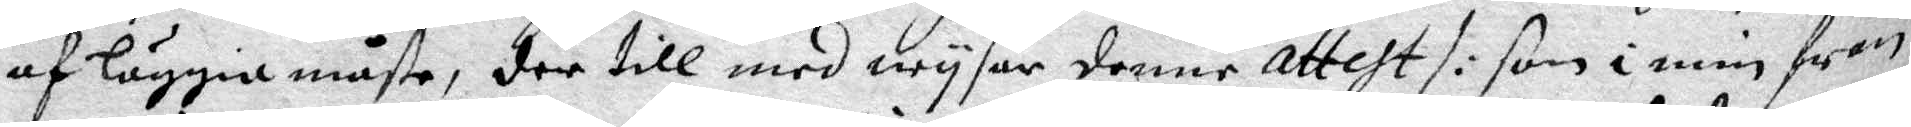af läggia måste, der till med  wysar denna Attest /: som i min från¬
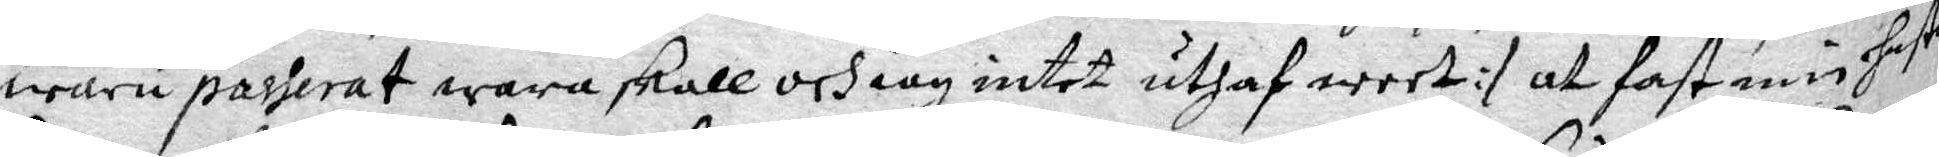waru passerat wara skall och iag intet uthaf weet :/ att fast min hustru
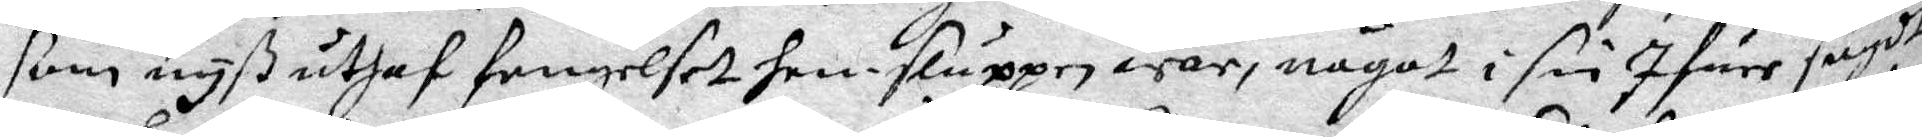som nyß uthaf fengelset hemsluppen war, något i sin Ifuer sagdt
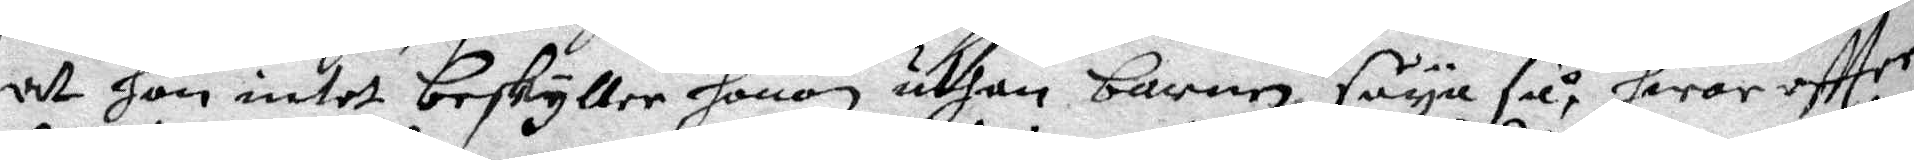att hon intet beskyller honom uthan barnen säya så, hwar effter
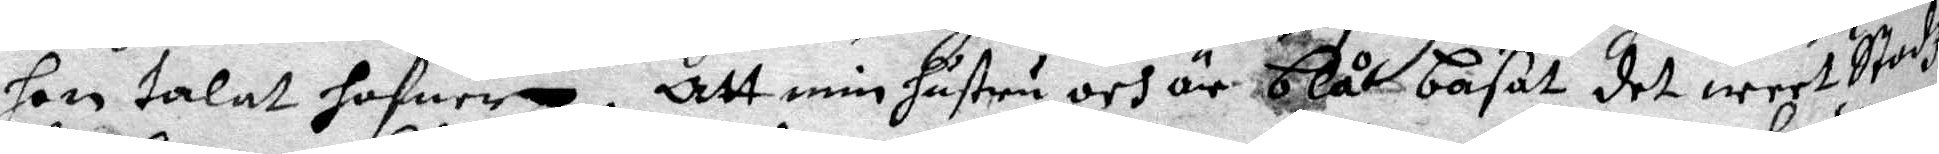hon talat hafwer. Att min hustru och är blå basat det weet Stadz¬
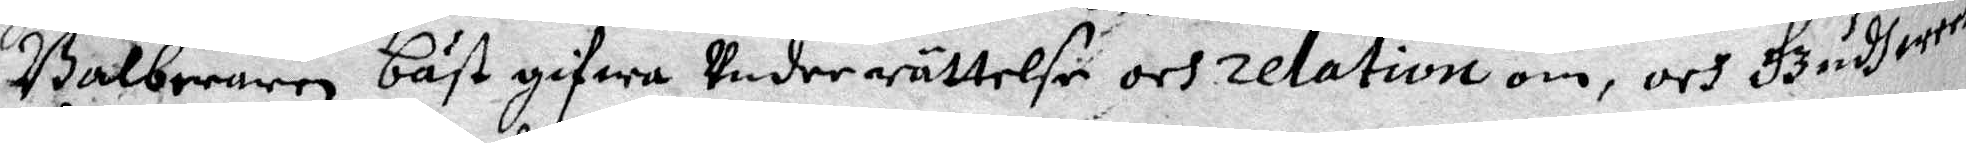Balberaren bäst gifwa Underrättelse och relation om, och Gudh weet
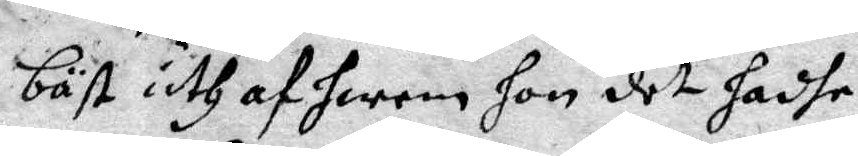bäst uth af herren hon det hadhe.
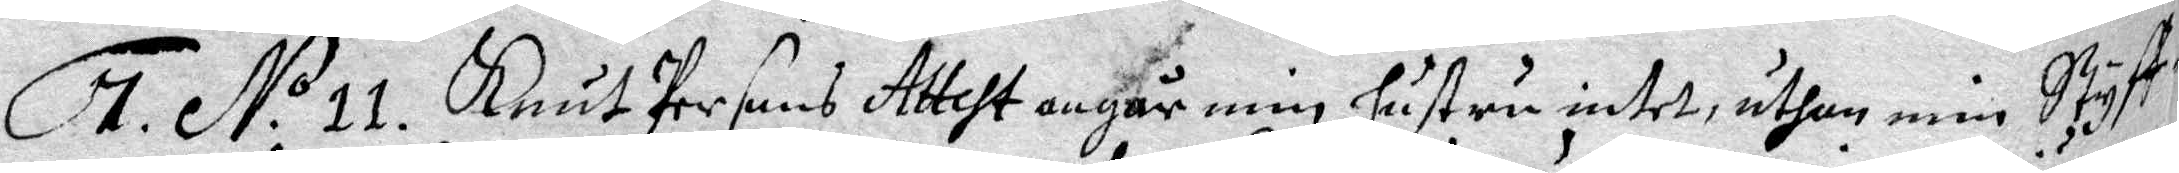7. N.o 11. Knut Persons Attest angår min hustru intet, uthan min Styff¬
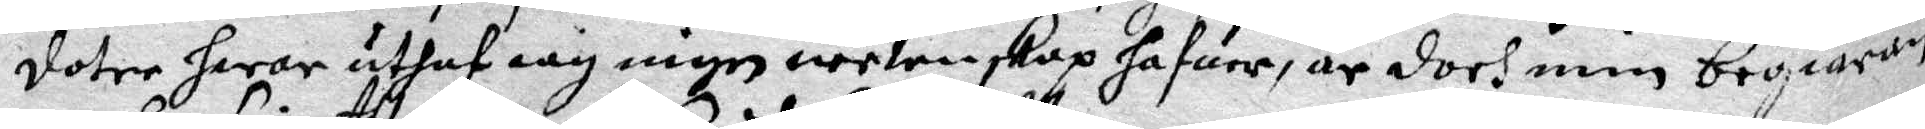doter hwar uthaf iag ingen wetenskap hafuer, är doch min begiäran
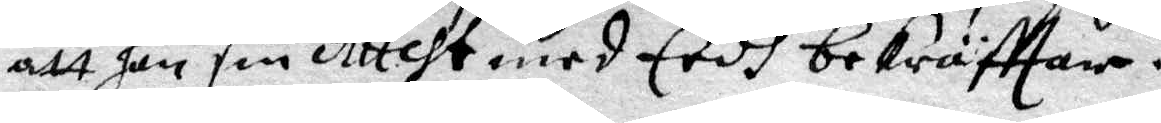att han sin Attest med Eedh bekräfftar.
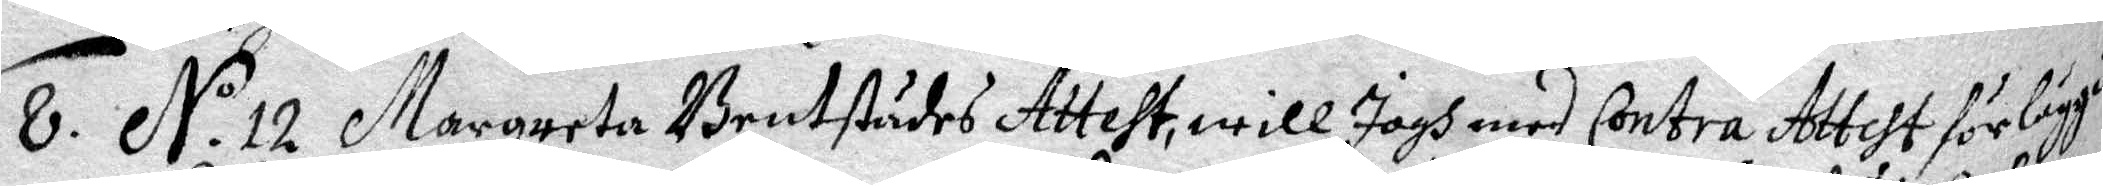8. N.o 12 Margareta Brutstådes Attest, will Jagh med Conra Attest förläggia
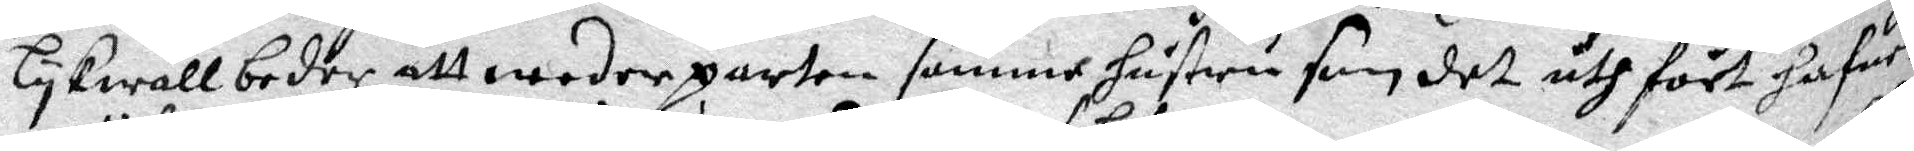lykwäll beder att wederparten samme hustru som det uthfört hafuer
